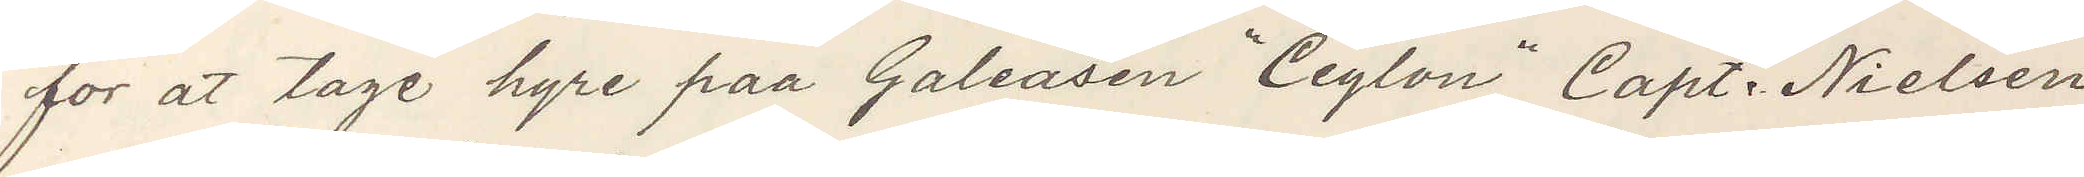for at tage hyre paa Galeasen "Ceylon" Capt. Nielsen
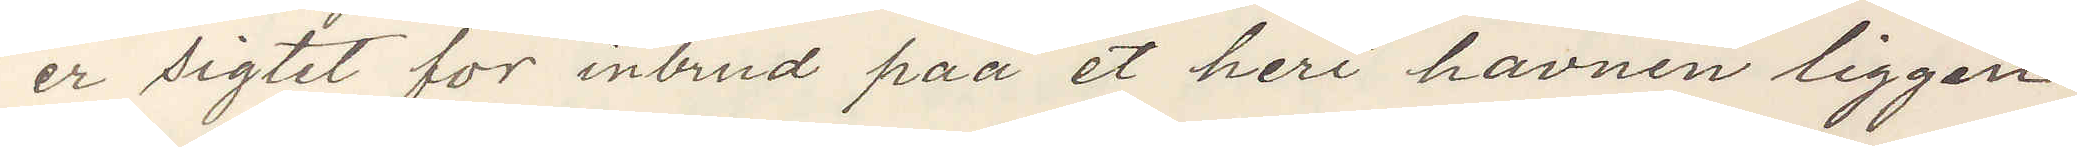er sigtet for inbrud paa et heri havnen liggan¬
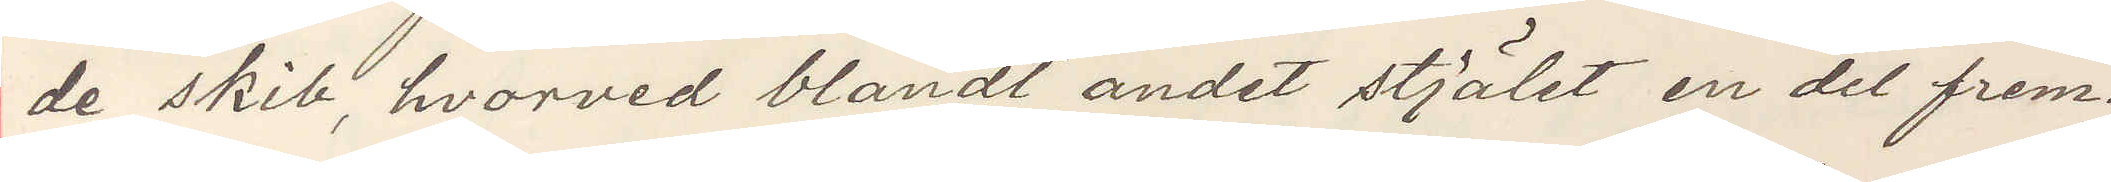de skib, hvorved blandt andet stjälet en del frem¬
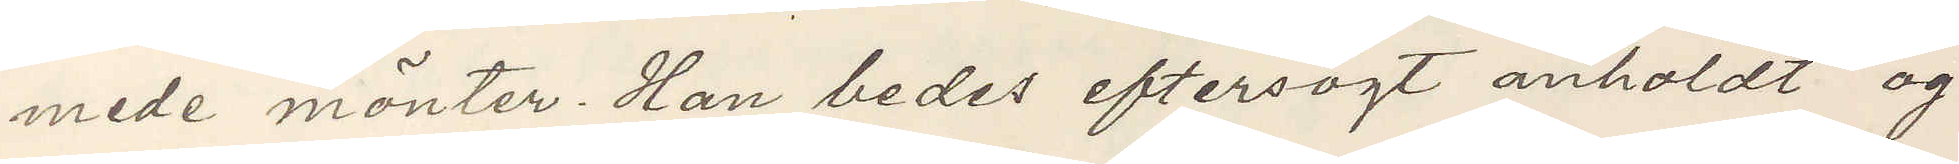mede mönter Han bedes eftersögt anholdt og
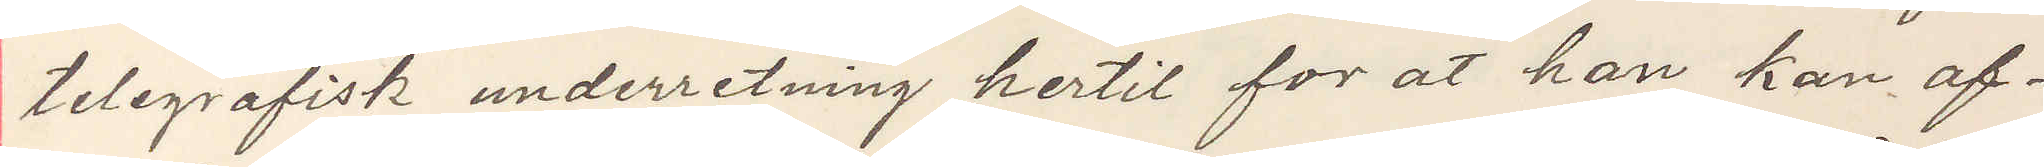telegrafisk undrretning hertil for at han kan af¬
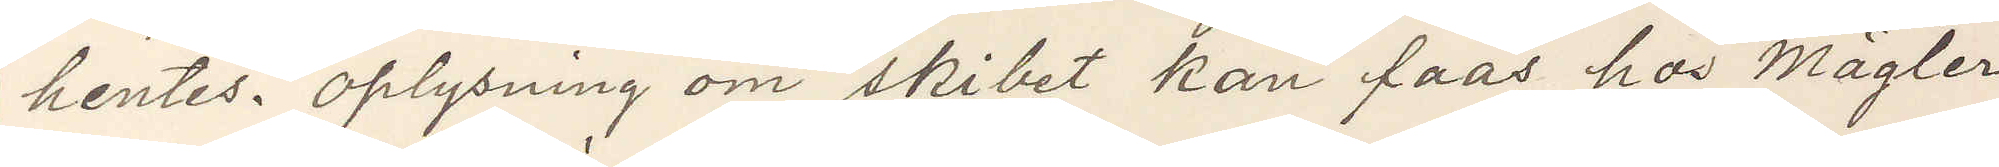hentes. Oplysning om skibet kan faas hos Mägler
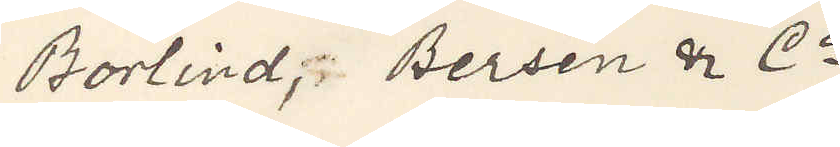Borlind, Bersén & Co
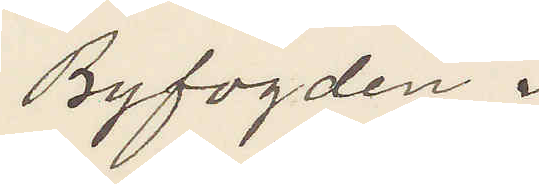Byfogden i
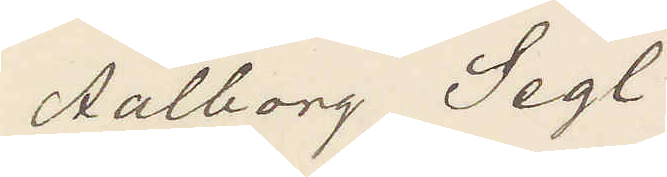Aalborg Segl
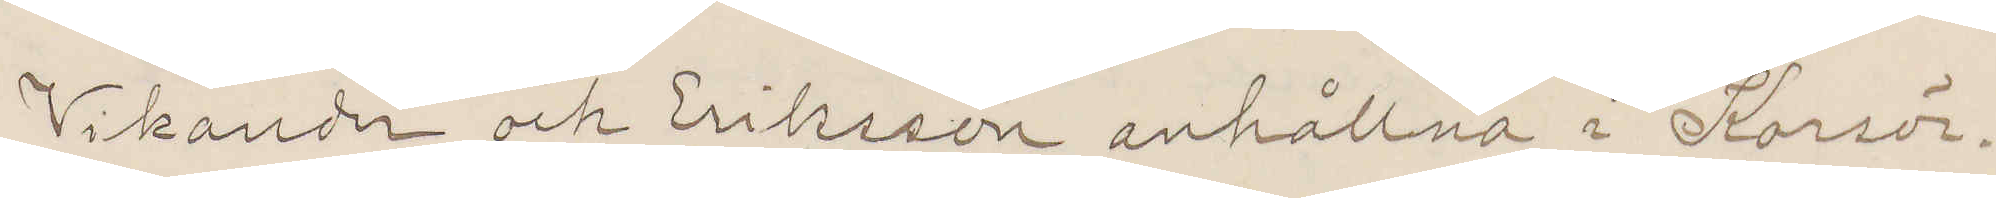Vikander och Eriksson anhållne i Korsör.
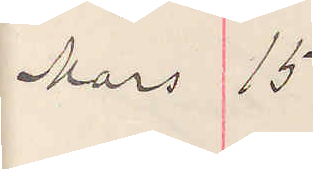Mars 15
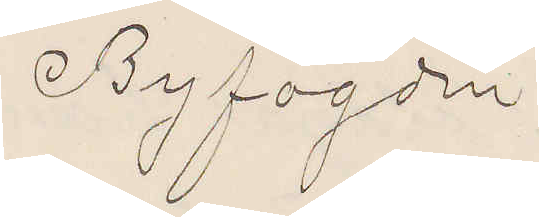Byfogden
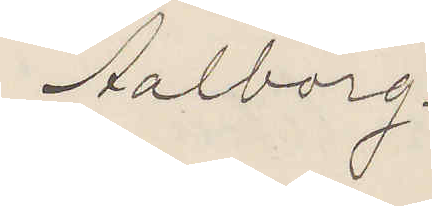Aalborg.
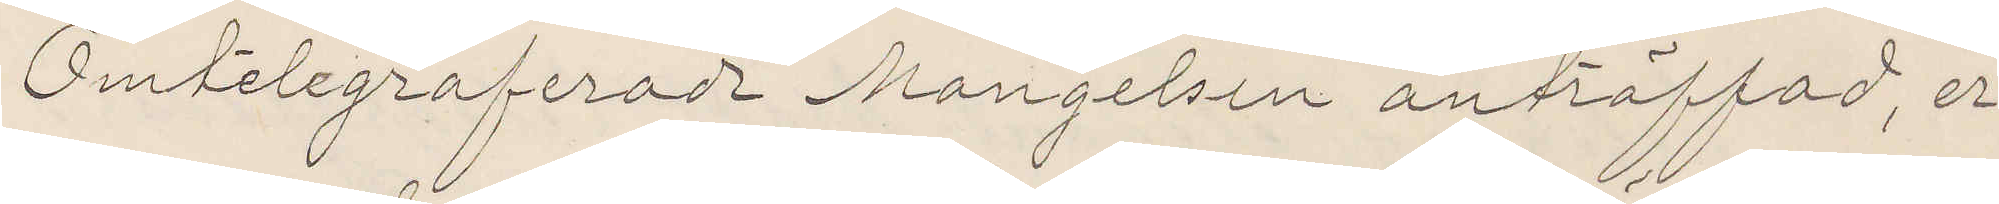Omtelegraferade Mangelsen anträffad, er¬
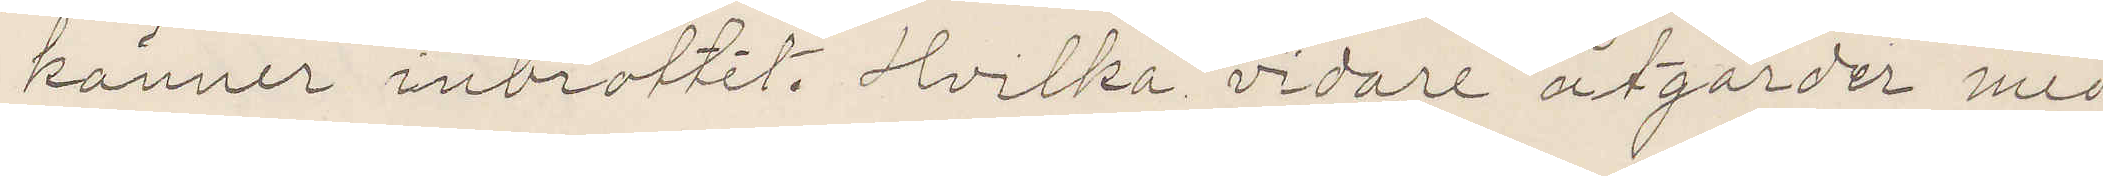känner inbrottet. Hvilka vidare åtgärder med
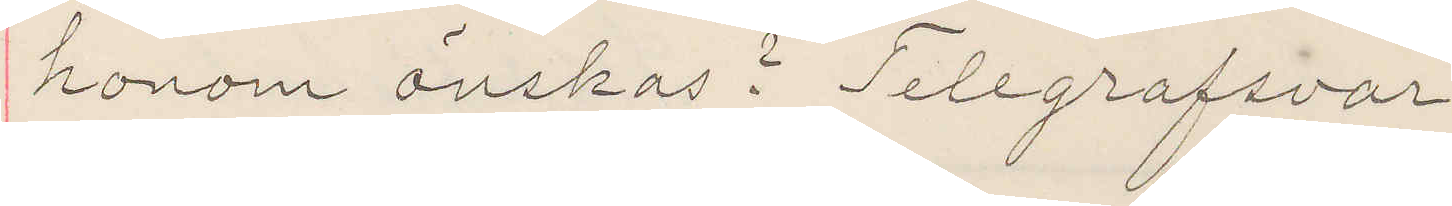honom önskas? Telegrafsvar.
